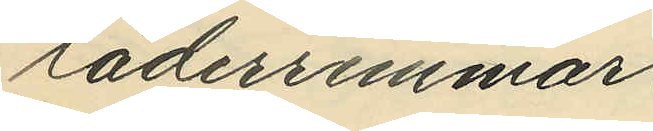läderremmar.
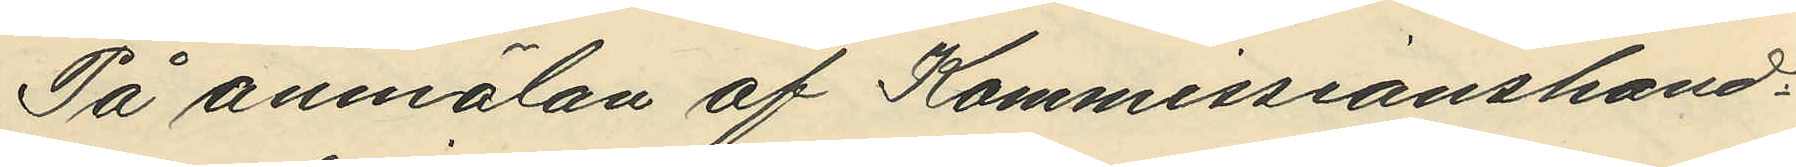På anmälan af Kommissionshand¬
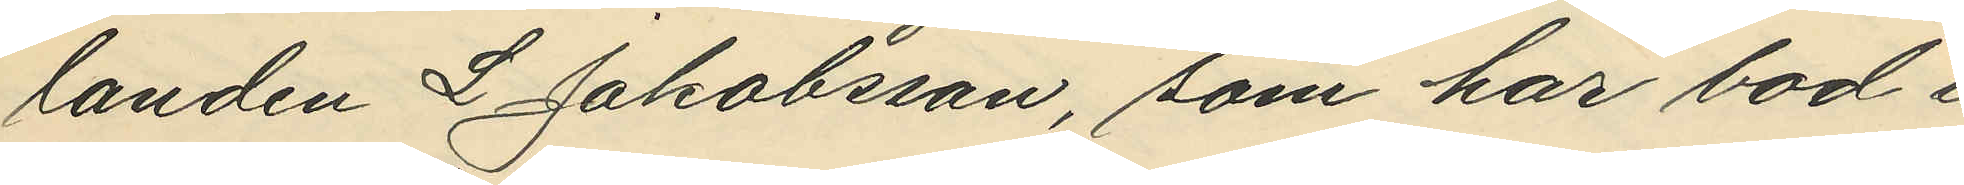landen L Jakobsson, som har bod i 
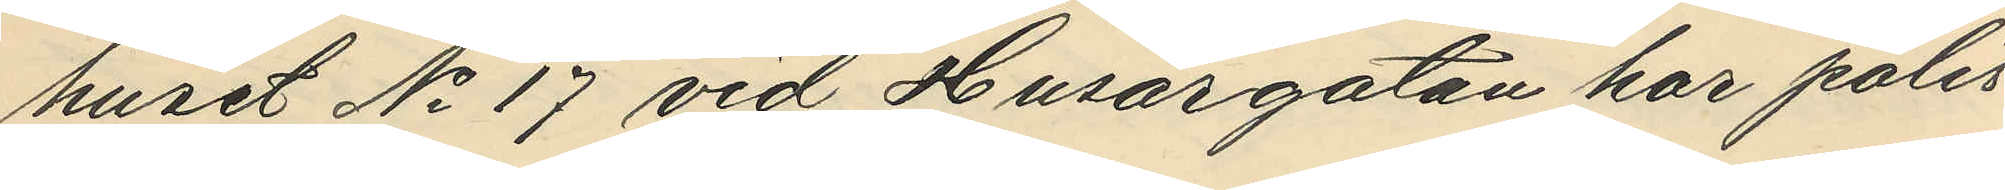huset No 17 vid Husargatan har polis¬
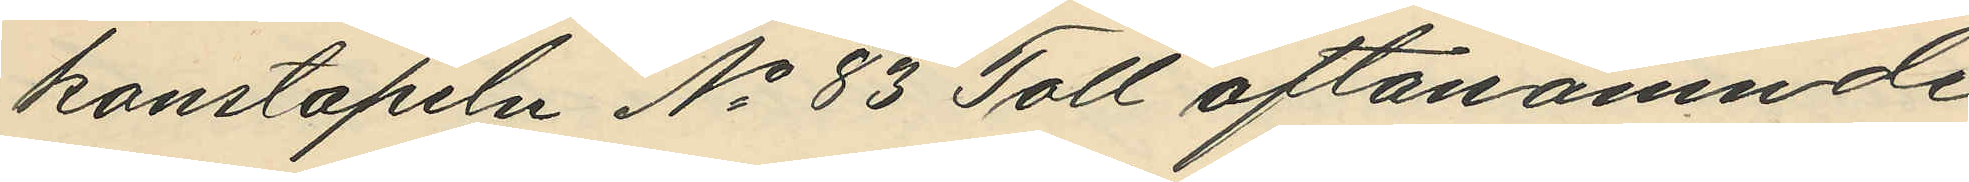konstapeln No 83 Toll oftanämnde
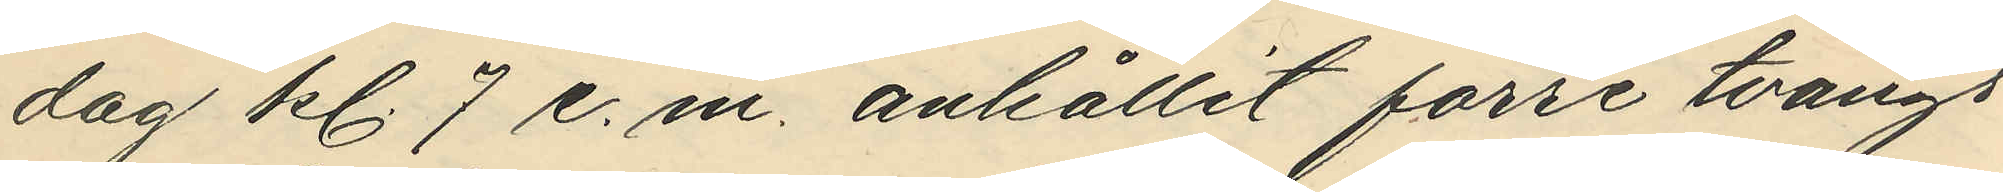dag kl. 7 e. m. anhållit förre tvångs¬
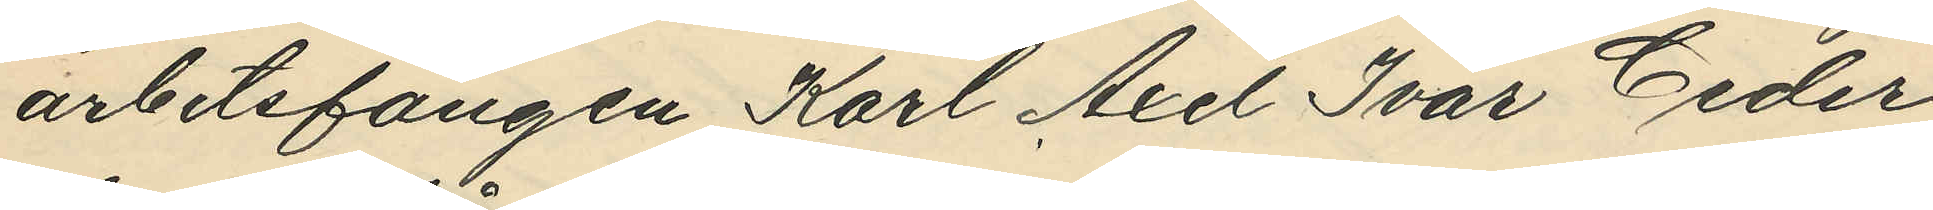arbetsfången Karl Axel Ivar Ceder¬
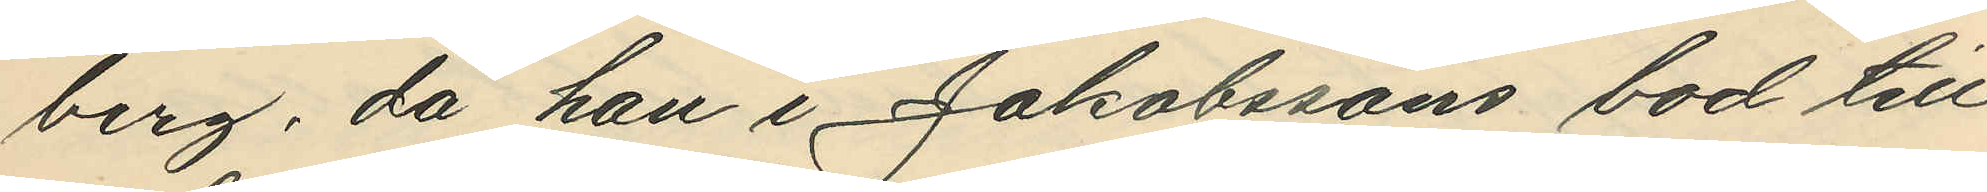berg, då han i Jakobssons bod till
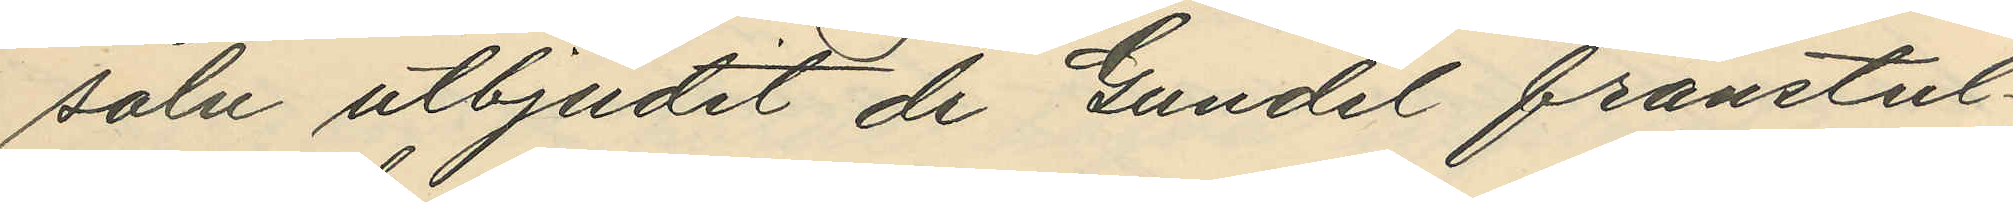salu utbjudit de Gundel franstul¬
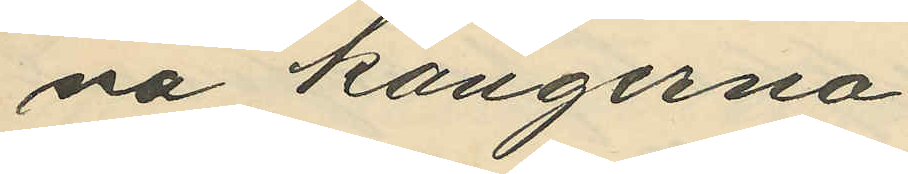ne kängerna.
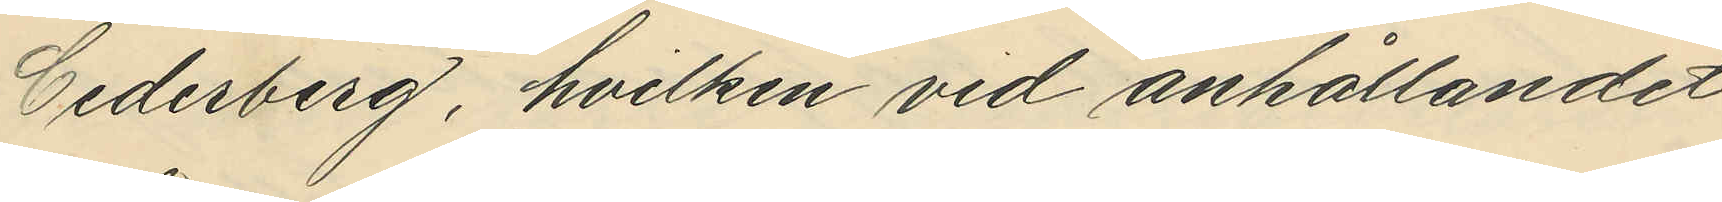Cederberg, hvilken vid anhållandet
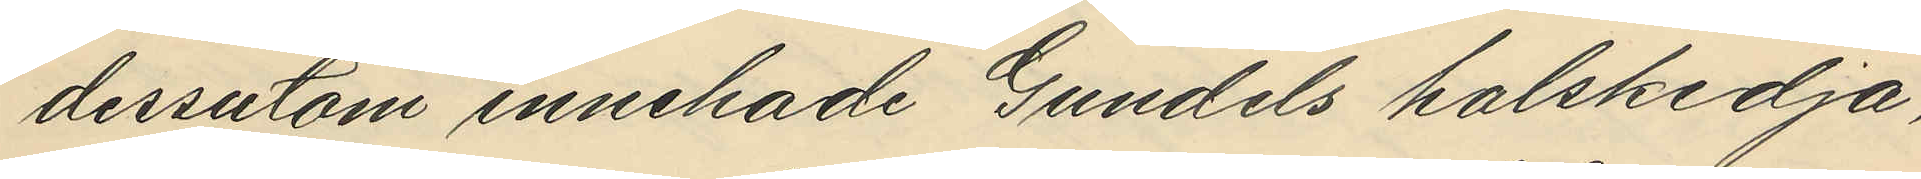dessutom innehade Gundels halskedja,
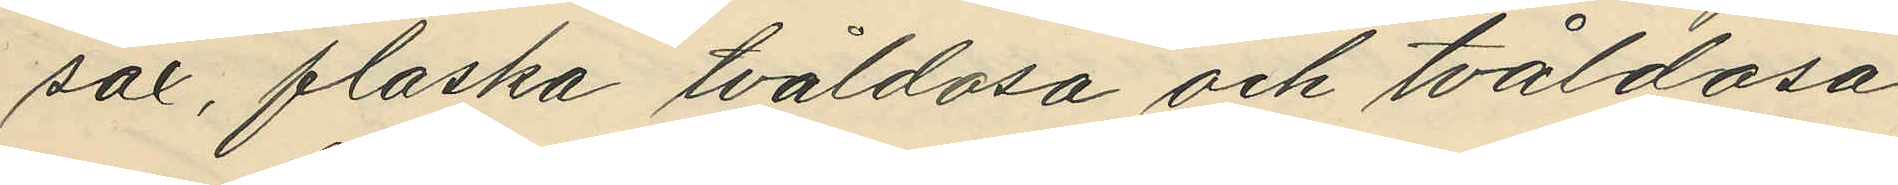sax, flaska tvåldosa och tvåldosa
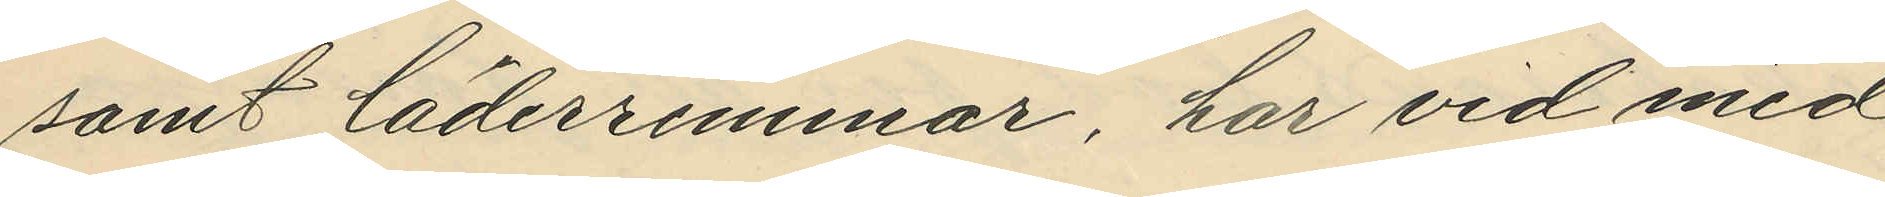samt läderremmar, har vid med
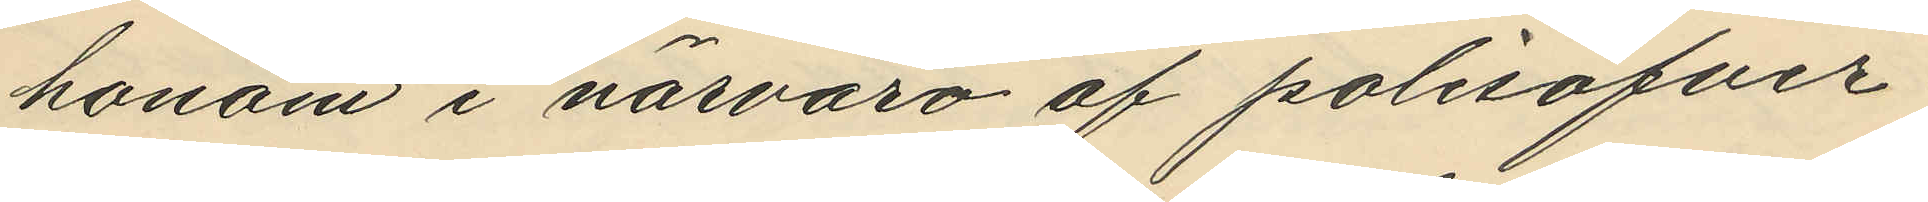honom i närvaro af polisöfver¬
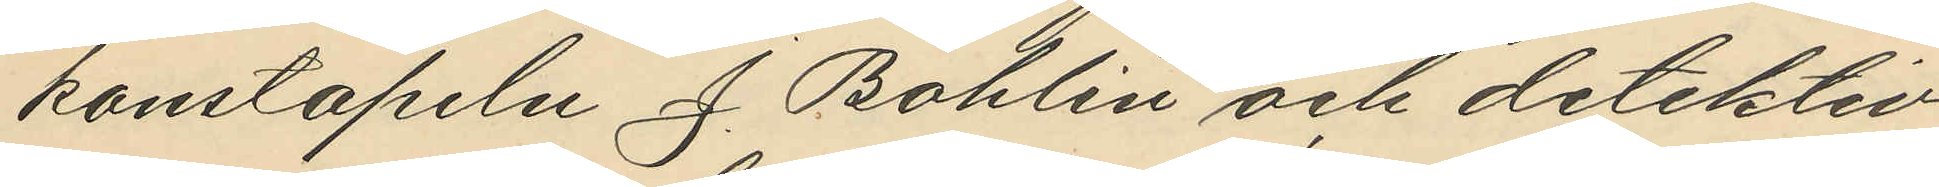konstapeln J. Bohlin och detektiv¬
